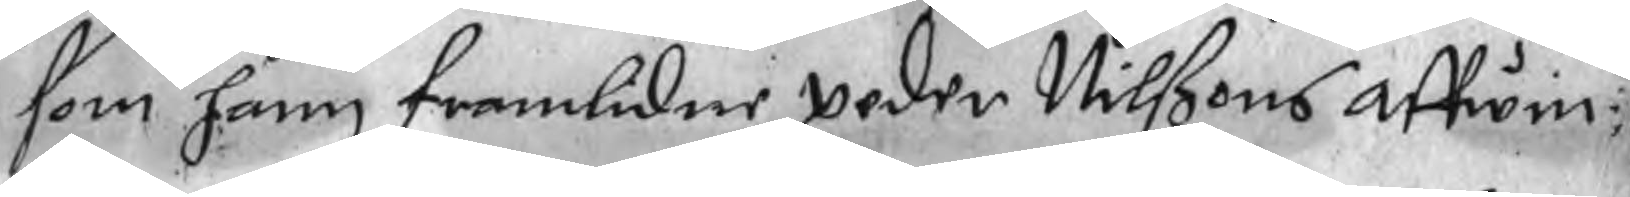som hann framlidne peder Nilßons affwin¬
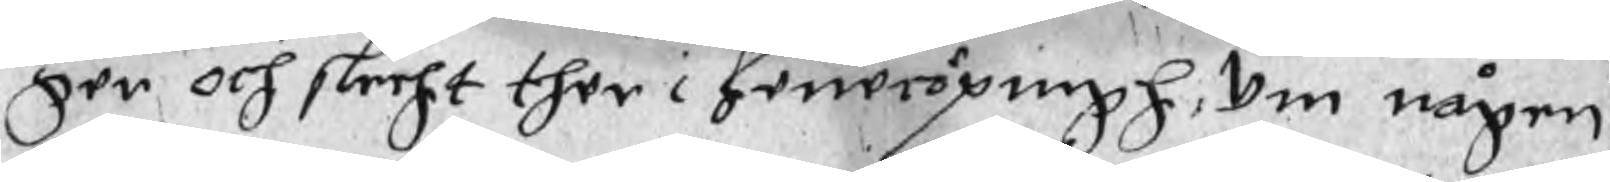ger och slecht ther i Jenecöpingh, Om någen
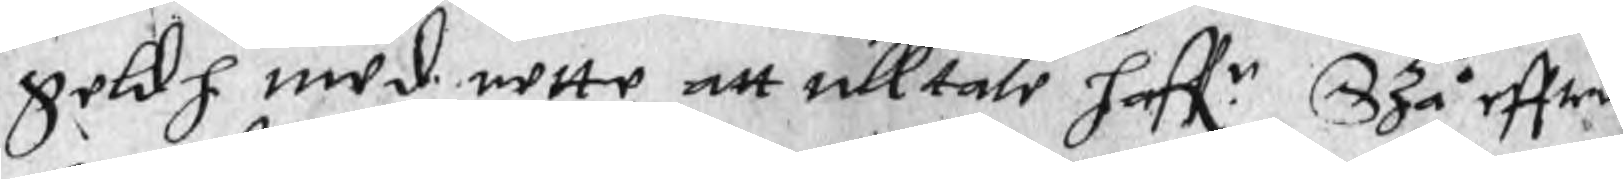geldh med rette att alltale haff.r Szå effter
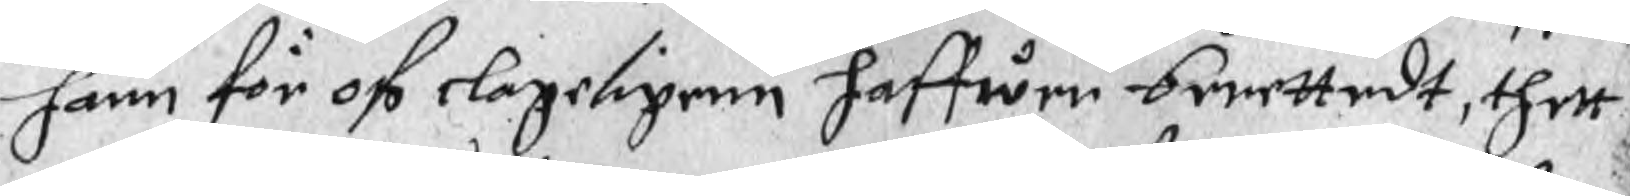hann för oß olageligenn haffwer berettedt, thett
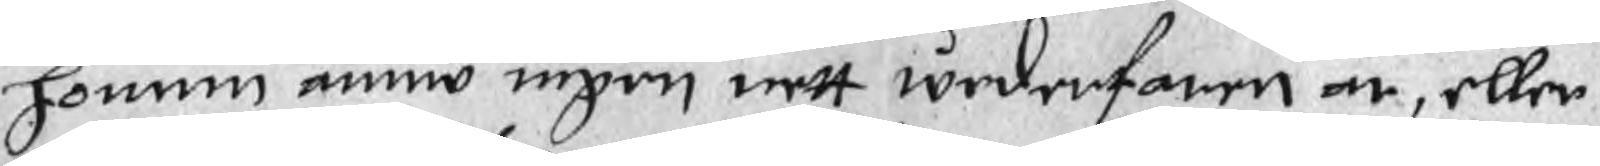honum ännu ingen wett wederfaren är, eller
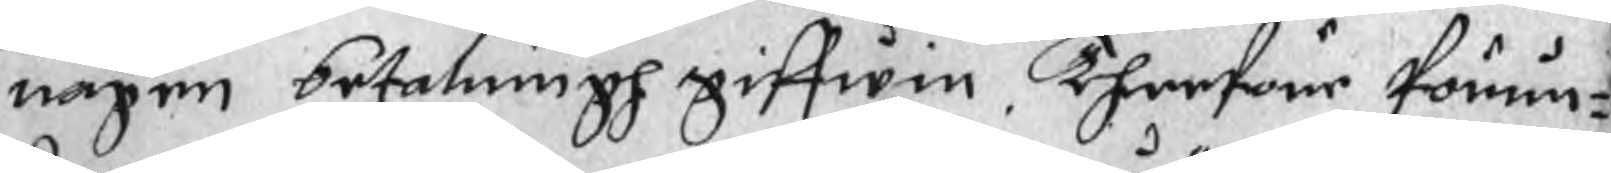någen betalningh giffwin. Therföre förun¬
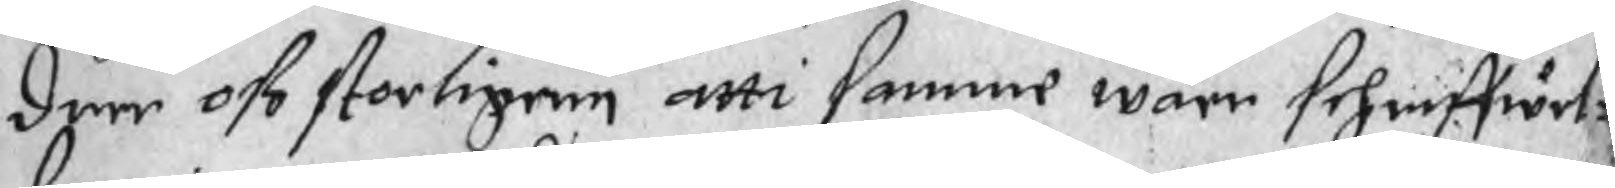drer oß storligenn atti samme wåre schriffwet:
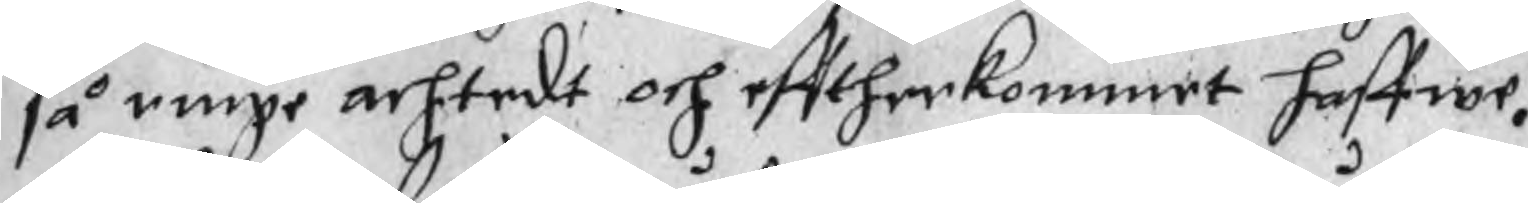så ringe achtedt och efftherkommet haffwr.
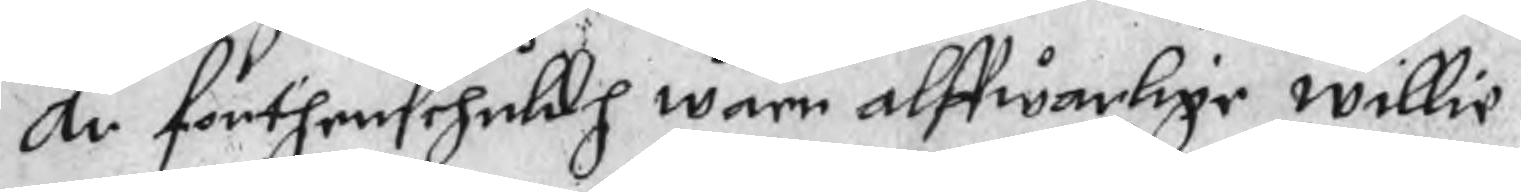Än forthensehuldh wåre alffwarlige willie
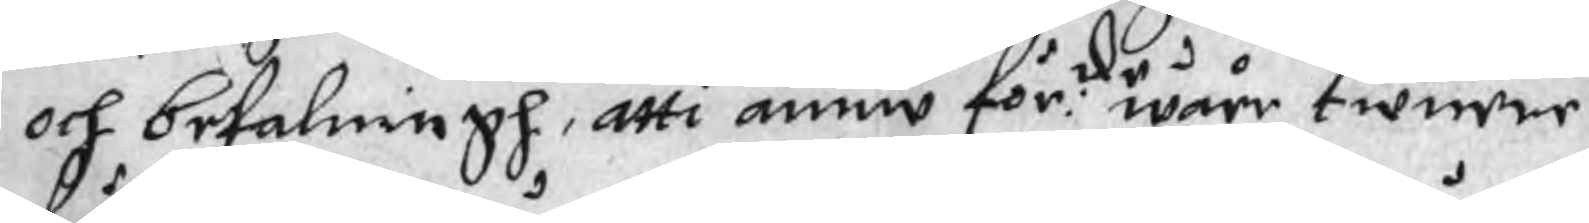och befalningh, atti ännu för:de wåre tienere
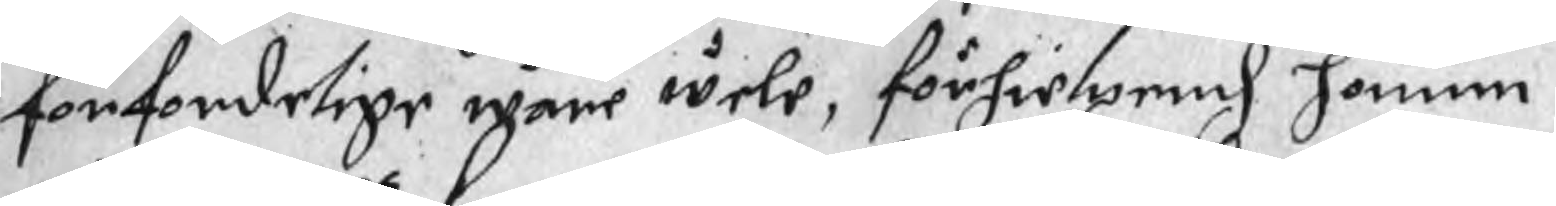förfordelige wåre wele, förhielpend honum
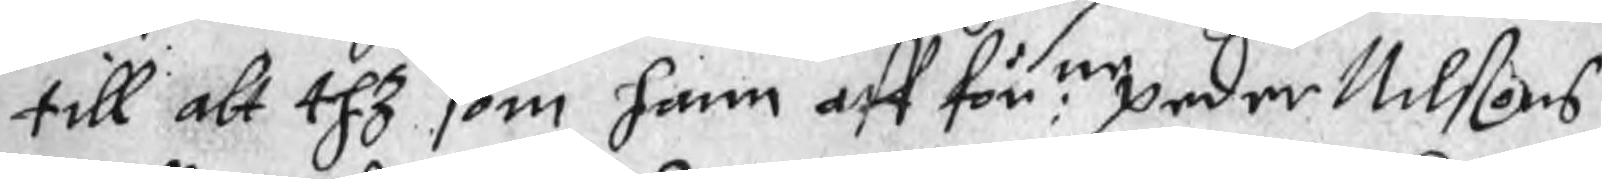till alt thz som hann aff för:ne peder Nilßons
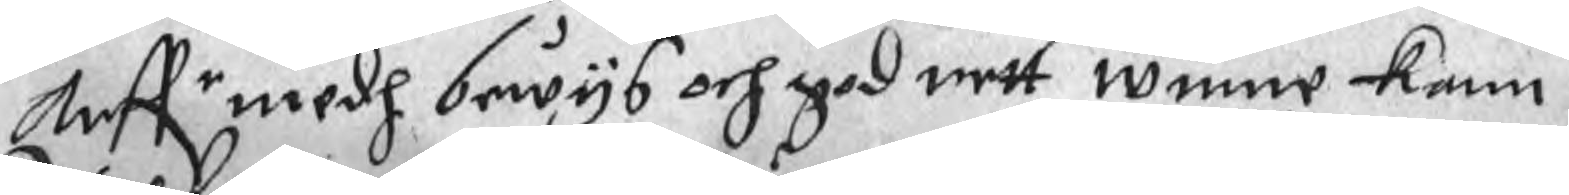haffr medh bewys och god rett winne kan.
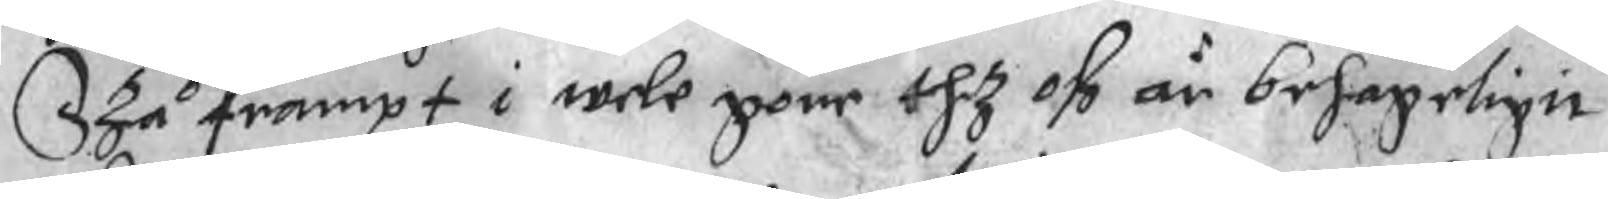Szå frampt i wele göre thz oß är behageligit
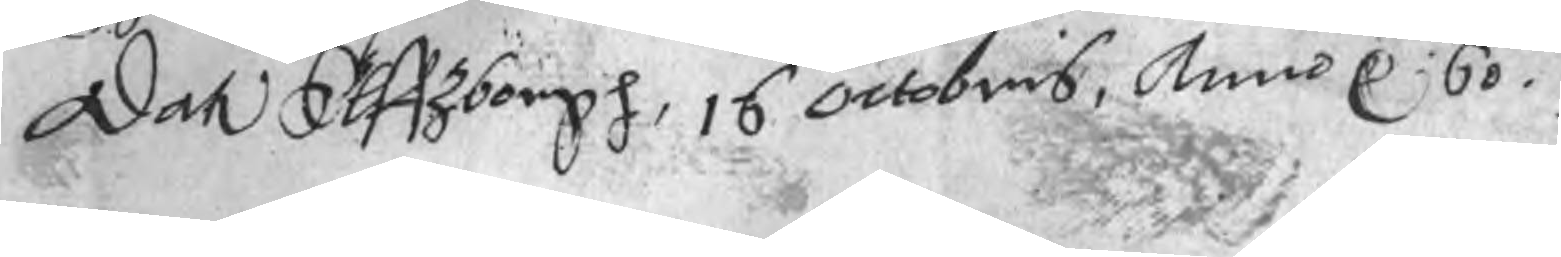Dat Elffzborgh, 16 octobris, Anno r 60.
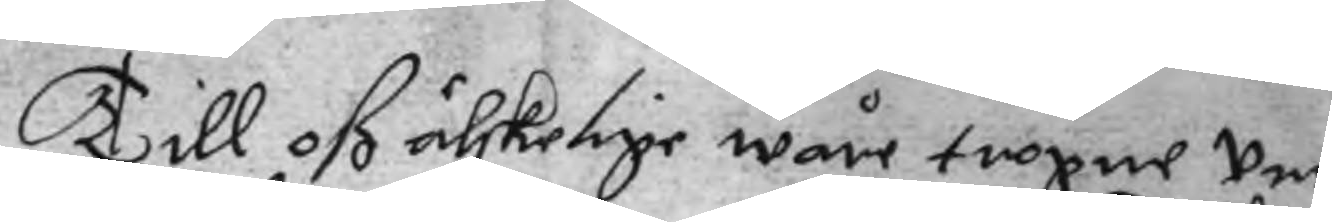Till oß älskelige wåre trogne Un¬
